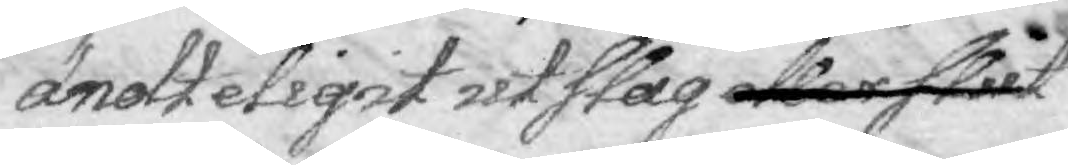ändteligit utslag eller slut
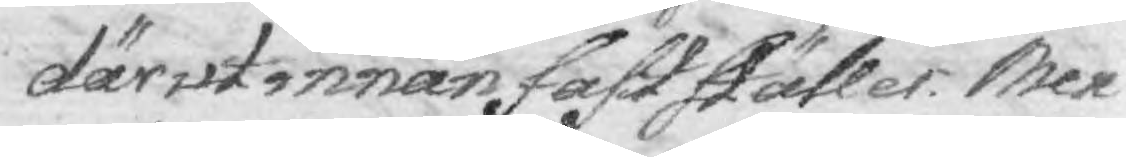därutinnan fastställer. Men 
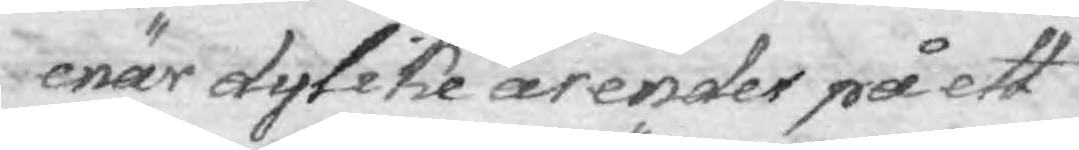enär dylike ärender på ett
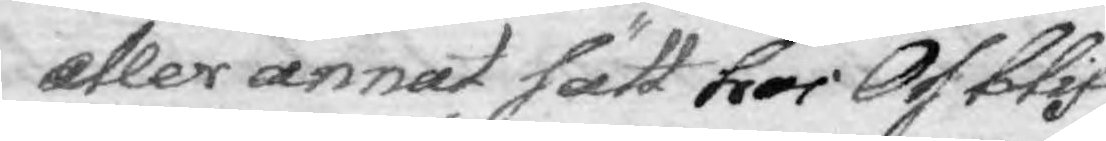eller annat sätt hos Oss blif¬
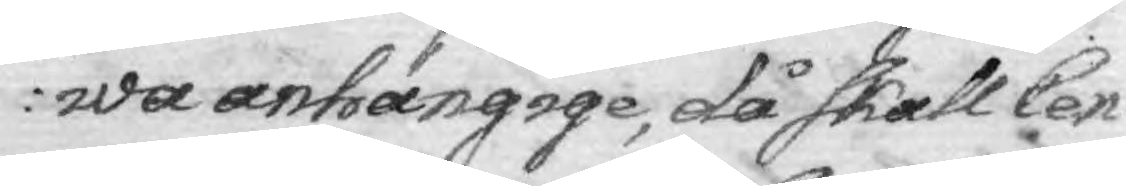wa anhängige, då skall Cen¬
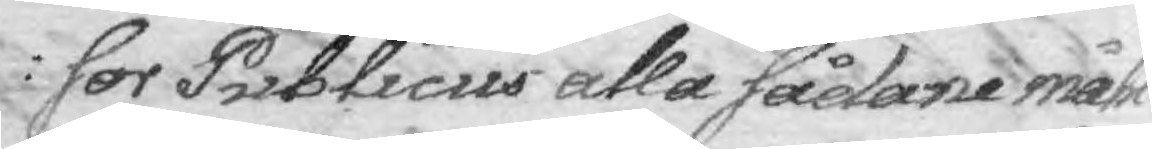sor Publicus alla sådane måhl
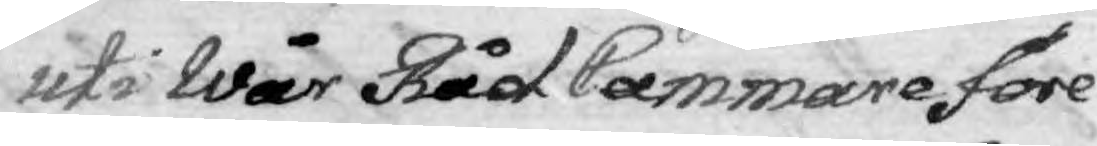uti Wår Råd Cammare före
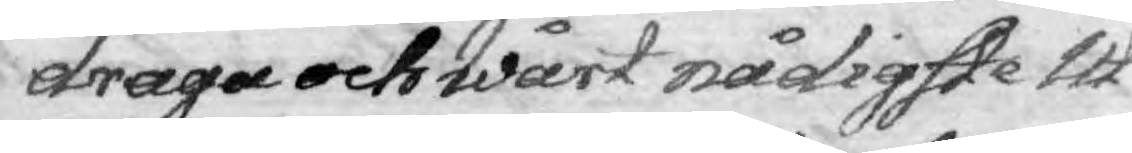draga och Wårt nådigste Ut¬
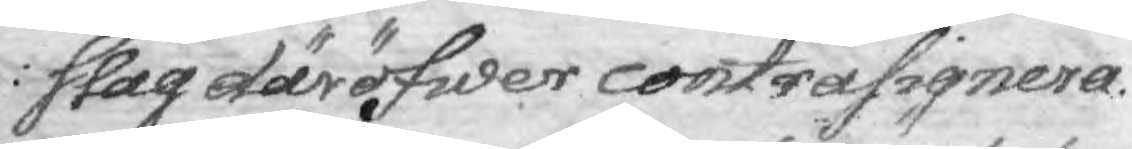slag däröfwer contrasignera.
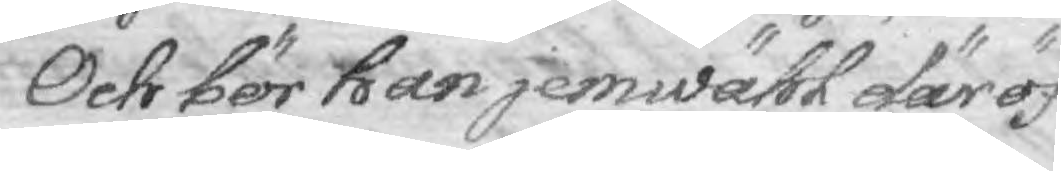Och bör han jemwähl däröf¬
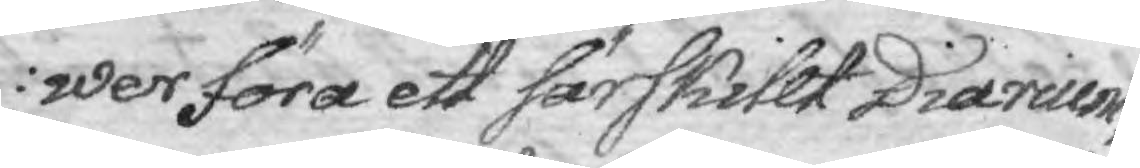wer föra ett Särskillt Diarium
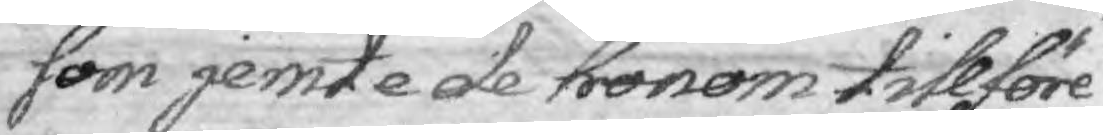som jemte de hronom tillföre¬
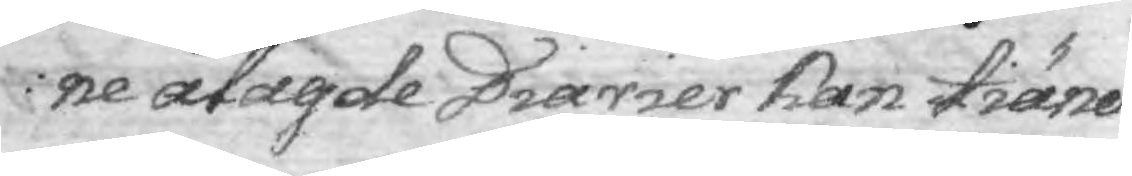ne ålagde Diarier han tiäna
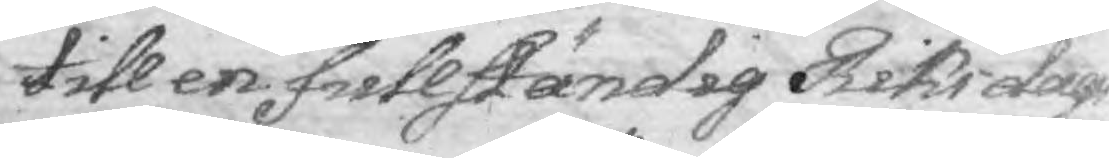till en fullständig Riksdag
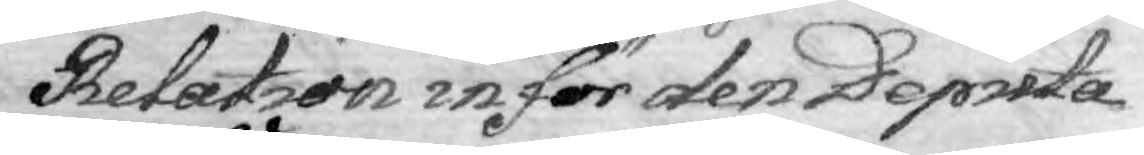Realtion inför den Deputa¬
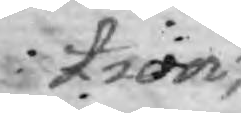tion,
